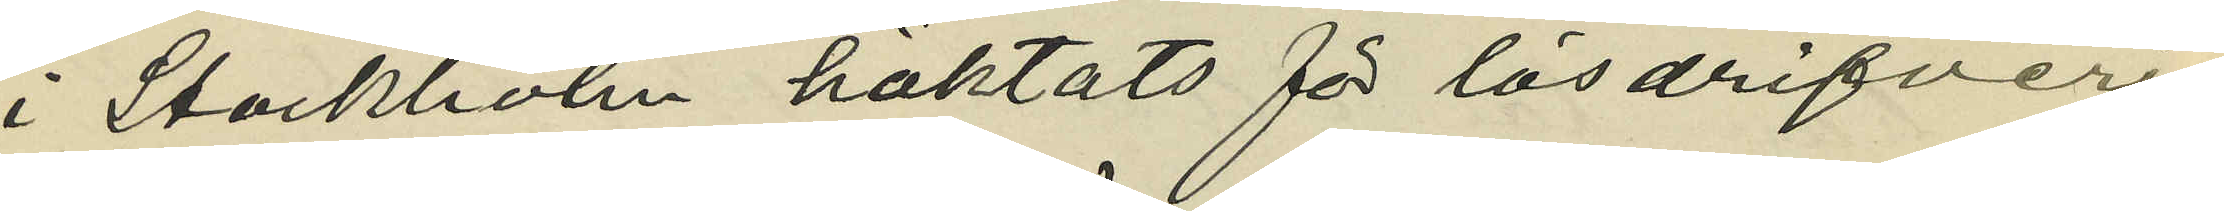i Stockholm häktats för lösdrifveri,
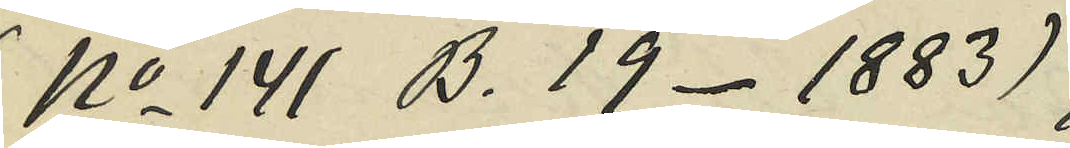(No 141 B. 19- 1883);
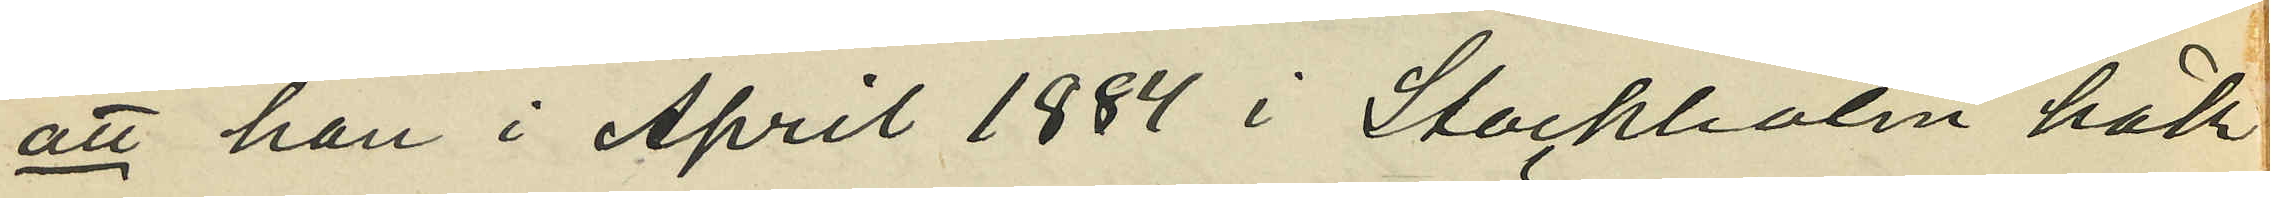att han i April 1884 i Stockholm häk¬
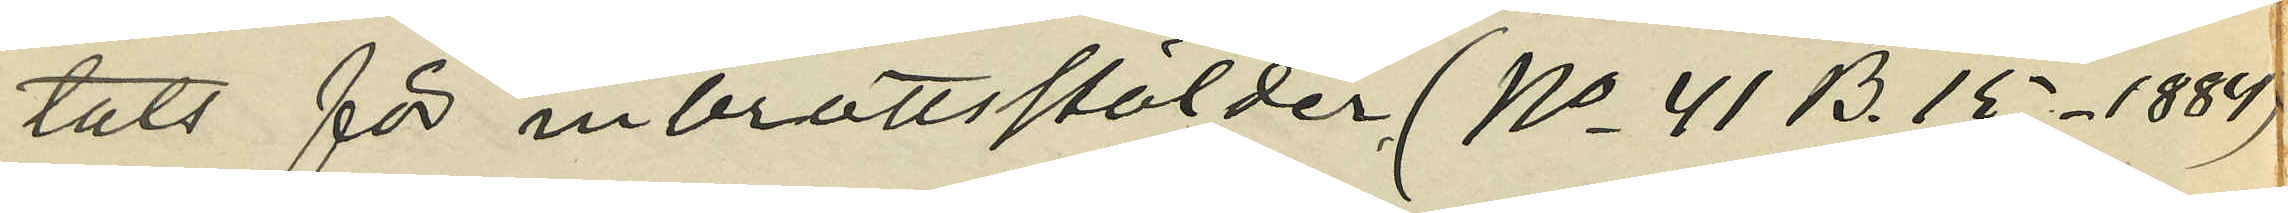tats för inbrottsstölder (No 41 B. 15- 1884)
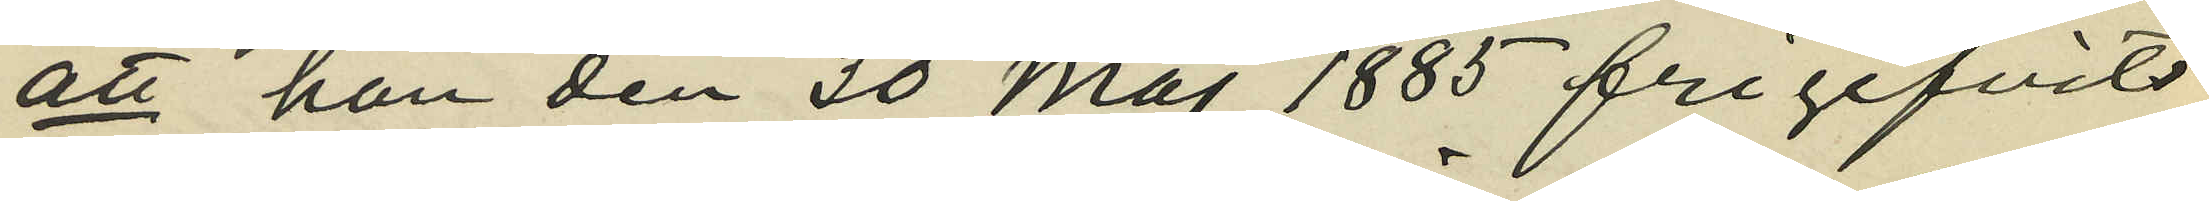att han den 30 Maj 1885 frigifvits
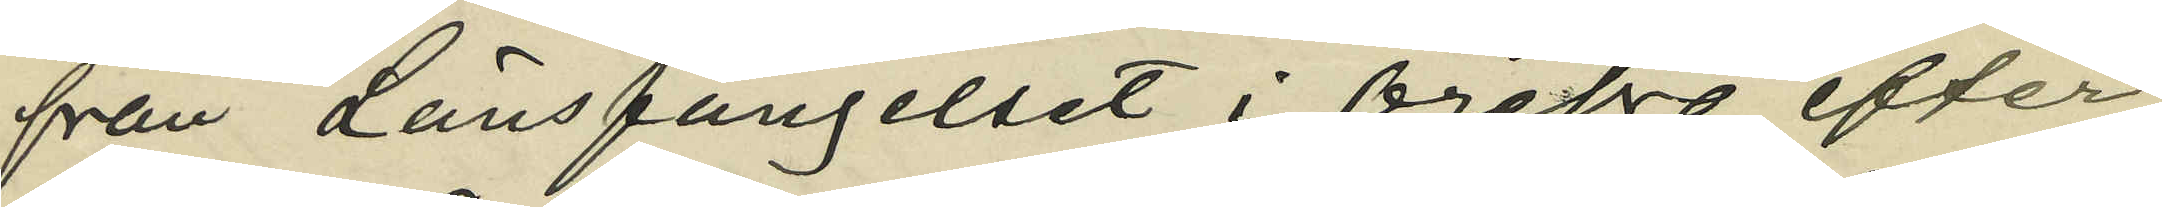från Länsfängelset i Örebro efter
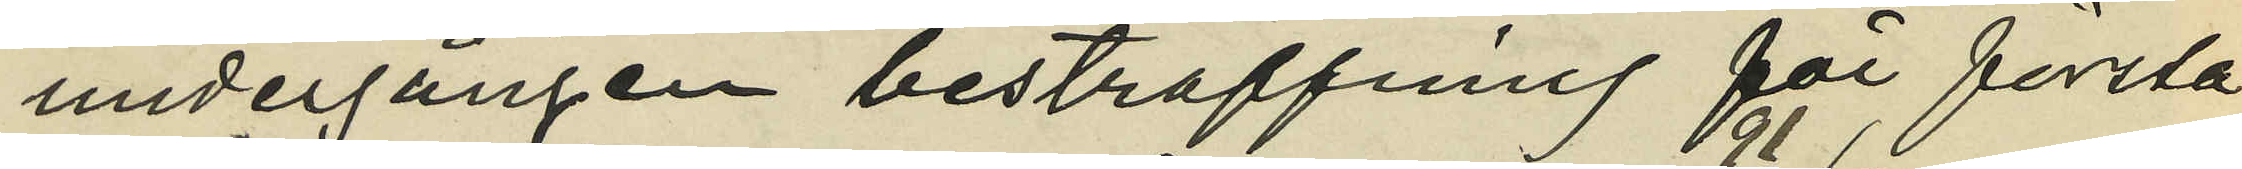undergången bestraffning för första
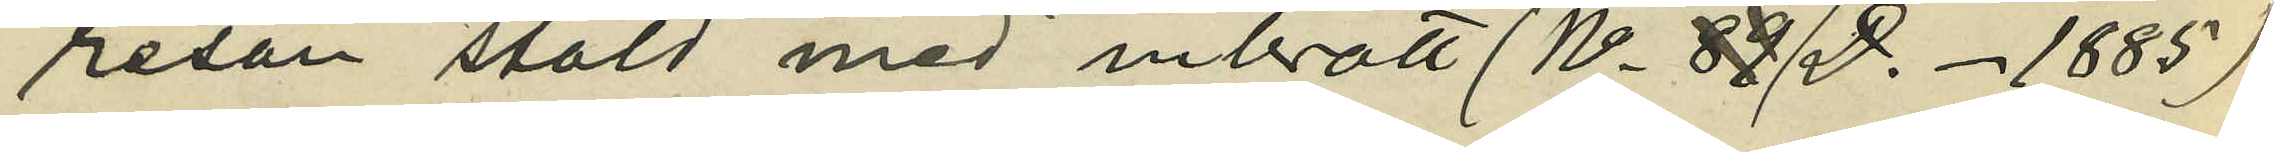resan stöld med inbrott (No 91 D. - 1885)
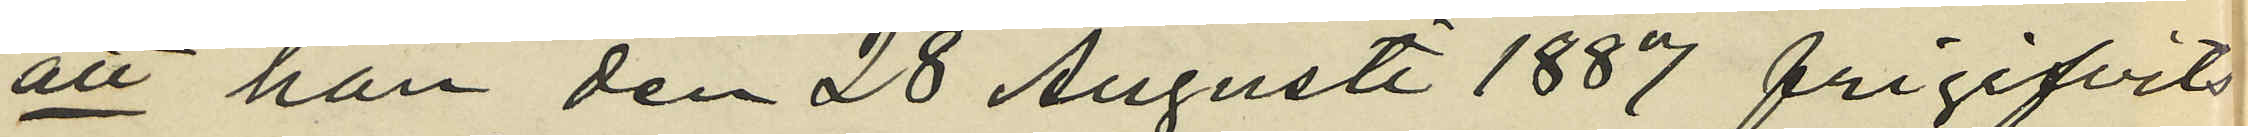att han den 28 Augusti 1887 frigifvits
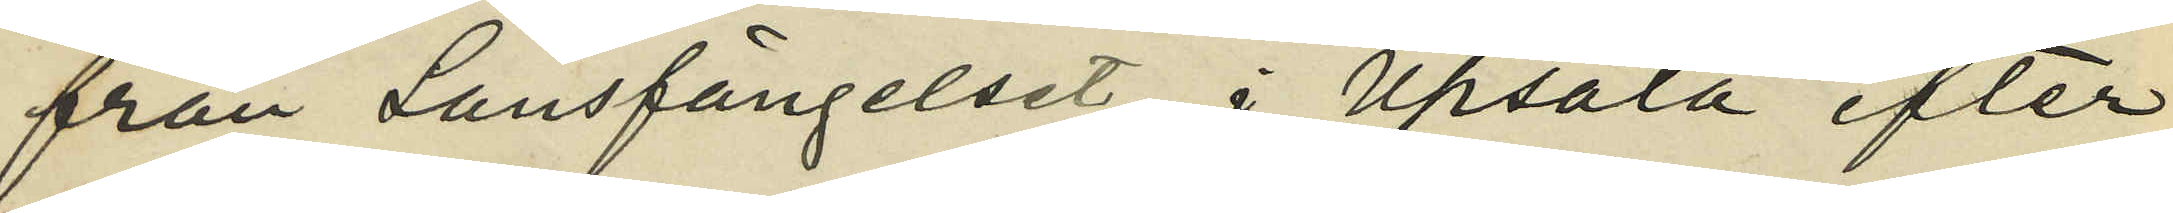från Länsfängelset i Upsala efter
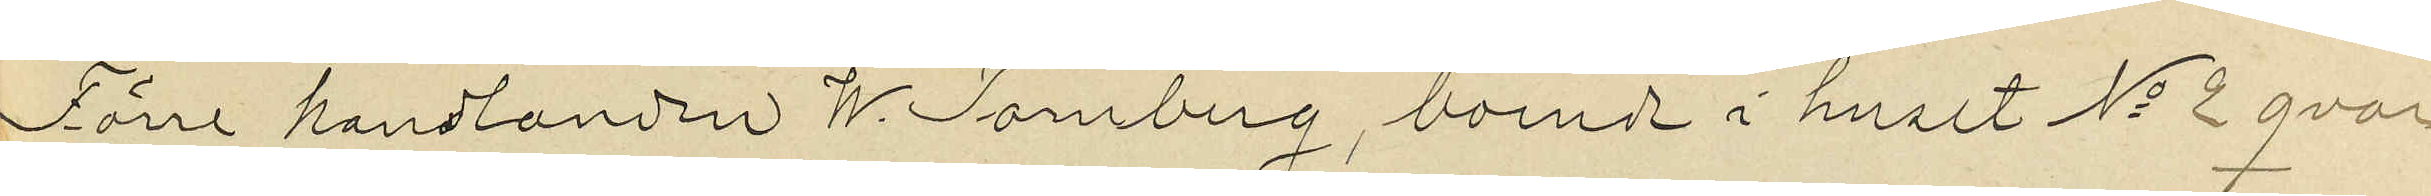Förre handlanden W. Tornberg boende i huset No 2 qvar¬
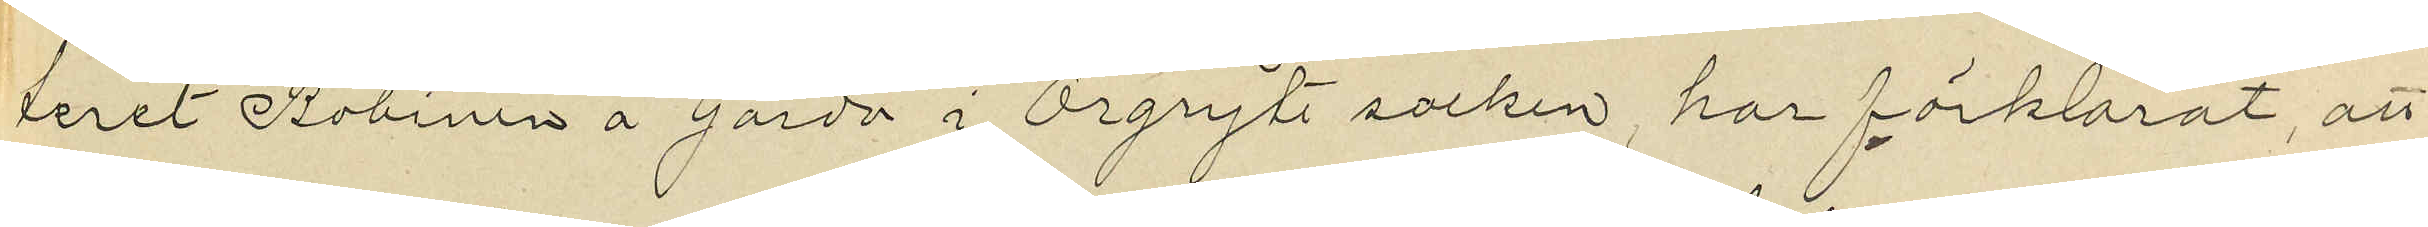teret Rubinen å Gårda i Örgryte socken, har förklarat, att
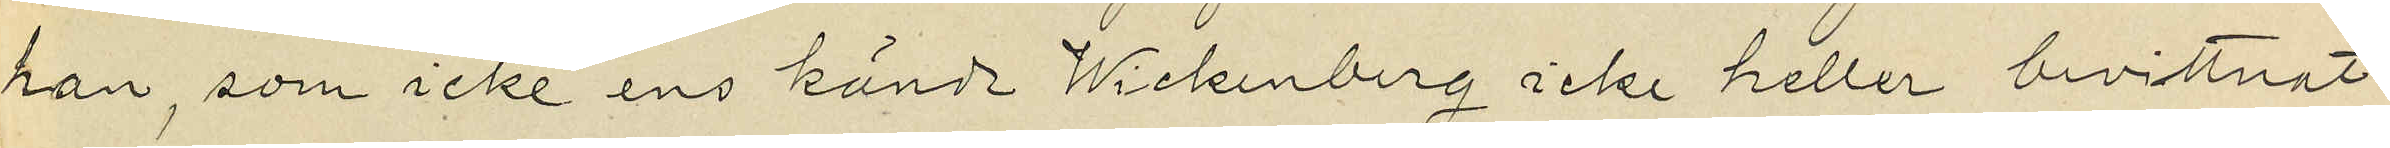han, som icke ens kände Wickenberg icke heller bevittnat
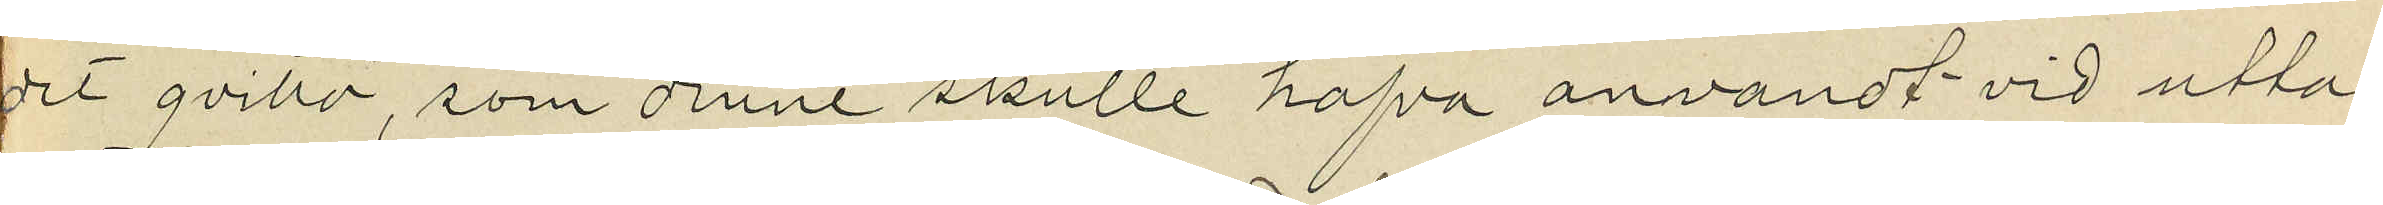det qvitto, som denne skulle hafva anvandt vid utta¬
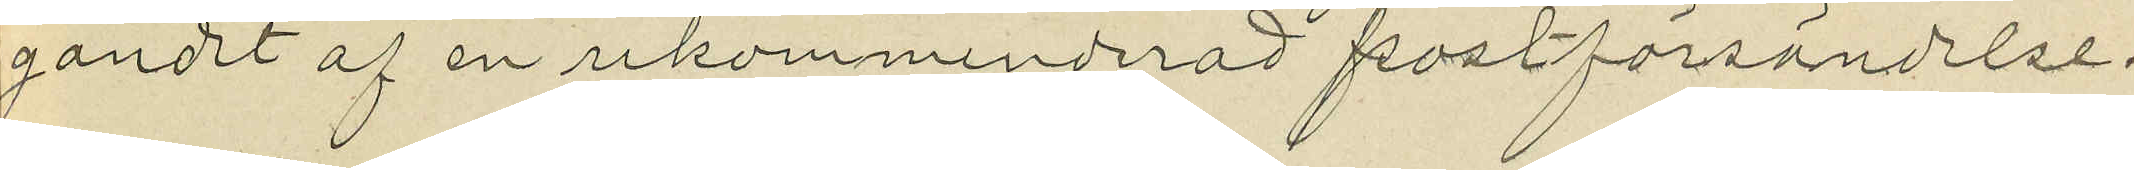gandet af en rekommenderad postförsändelse.
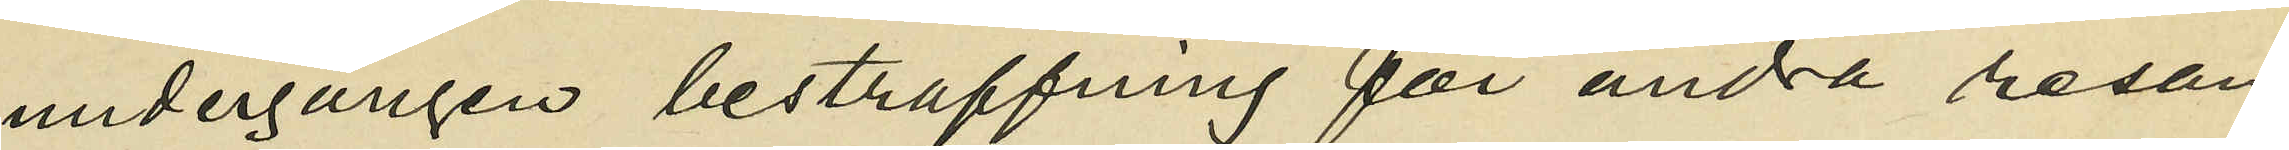undergången bestraffning för andra resan
